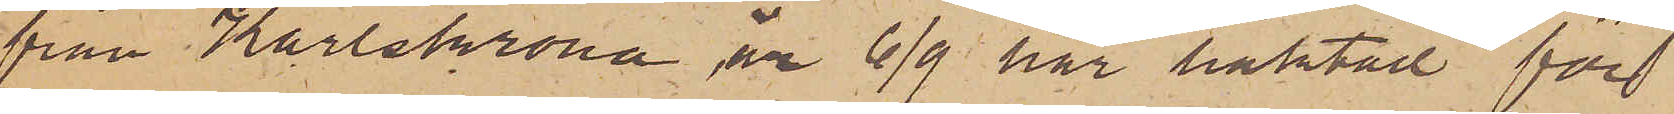från Karlskrona, är 6/9 här häktad för
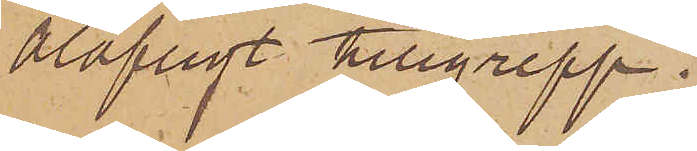olofligt tillgrepp.
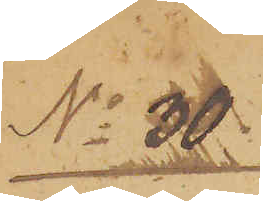No 30.
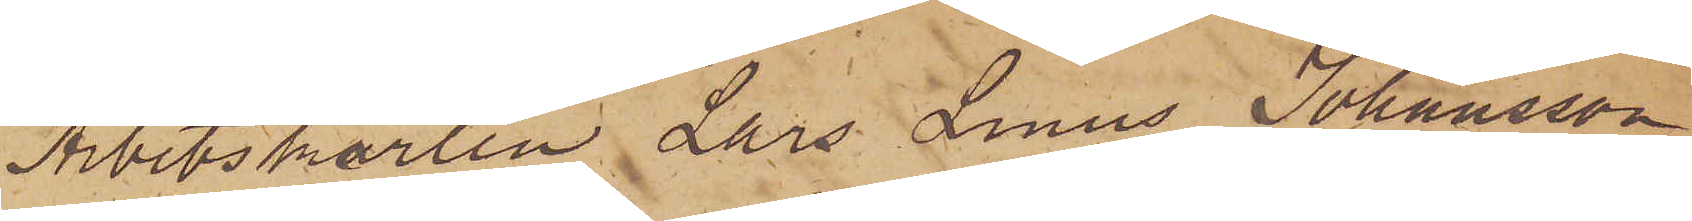Arbetskarlen Lars Linus Johansson
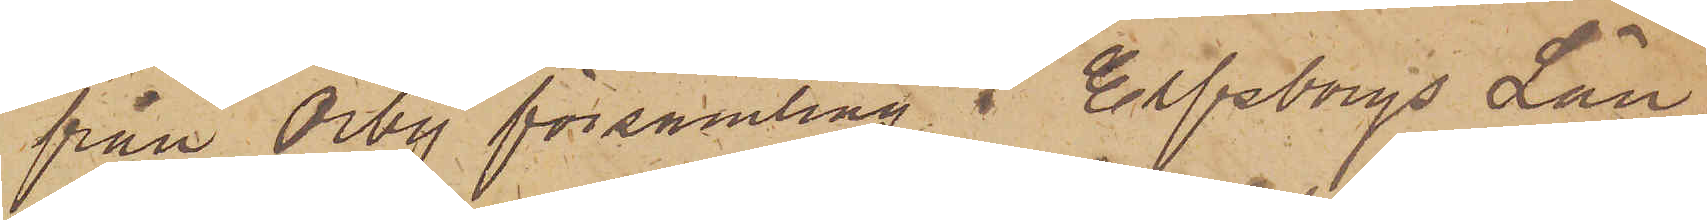från Örby församling i Elfsborgs Län
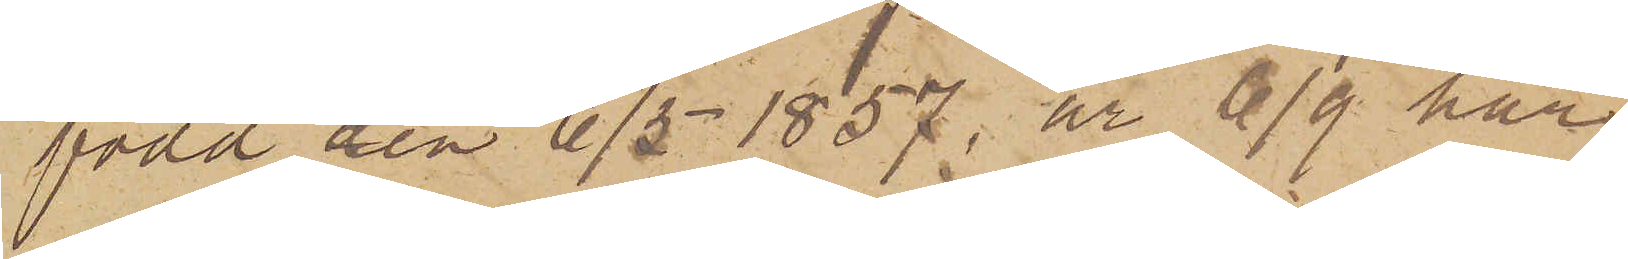född den 6/5 1857, är 6/9 här
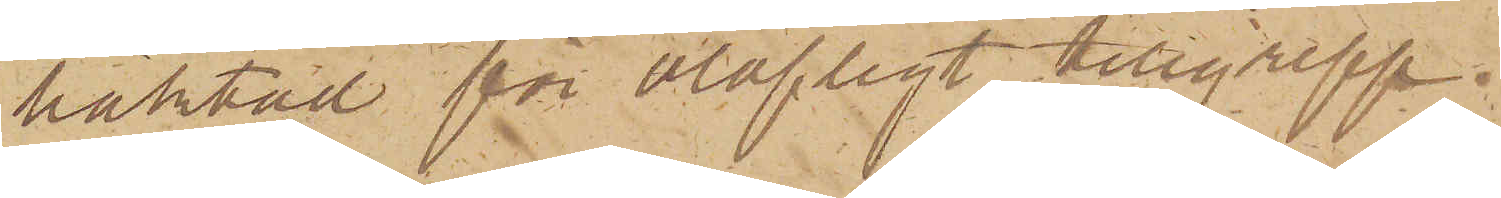häktad för olofligt tillgrepp.
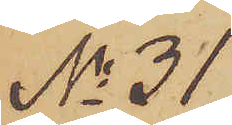No 31
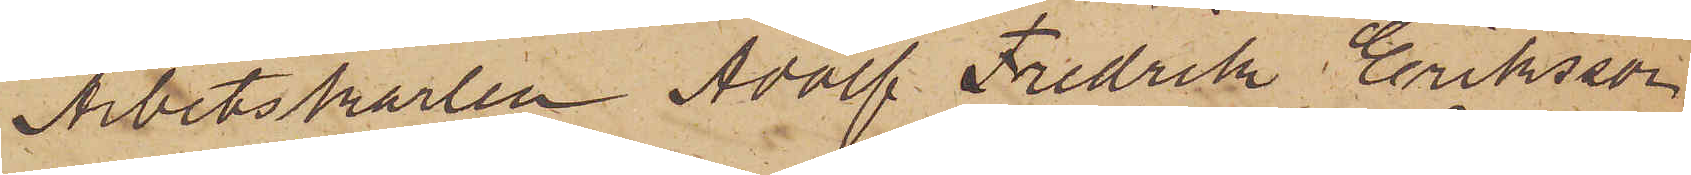Arbetskarlen Adolf Fredrik Eriksson
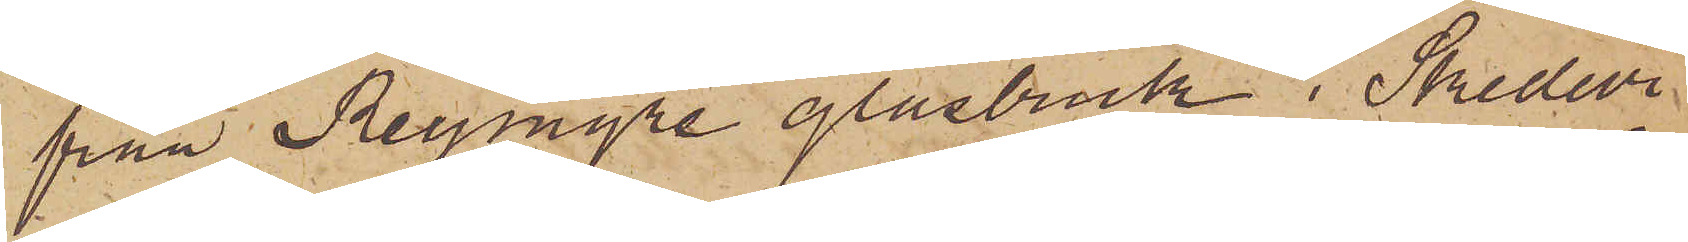från Reymyre glasbruk i Skedevi
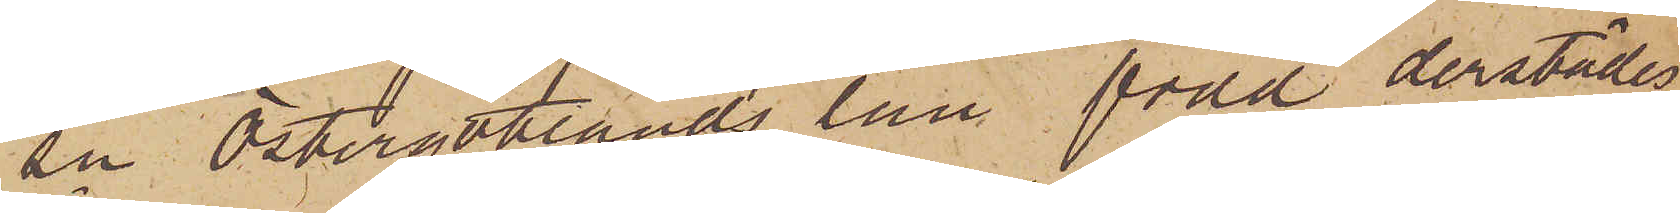sn Östergötlands län född derstädes
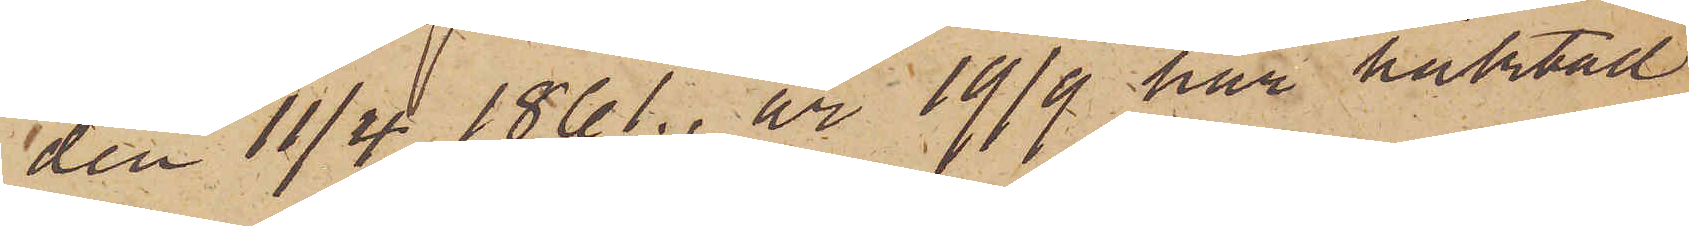den 11/4 1861., är 19/9 här häktad
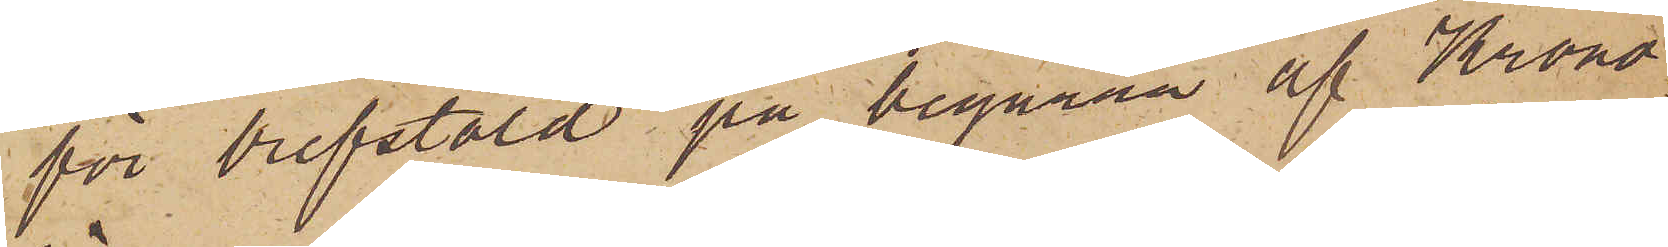för brefstöld på begäran af Krono¬
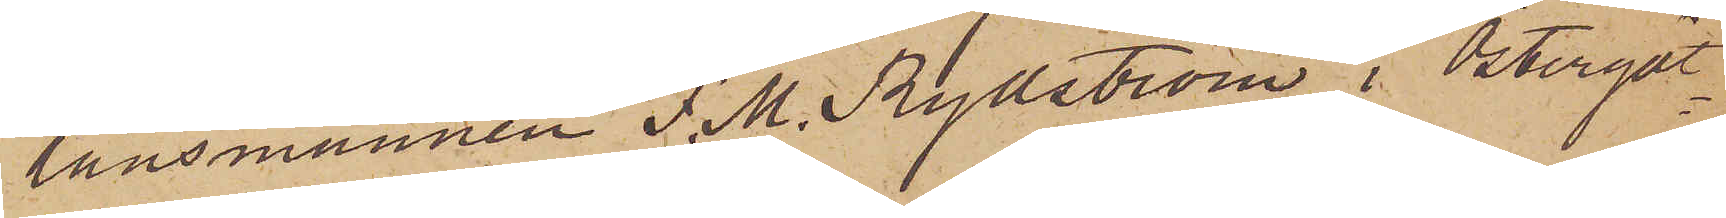länsmannen F. M. Rydström i Östergöt¬
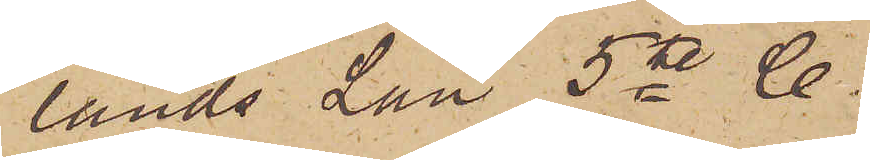lands Län 5te C.
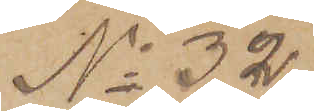No 32
